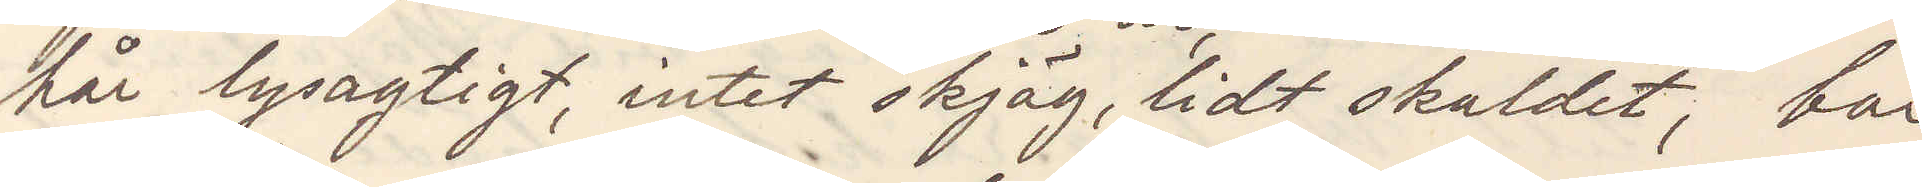hår lysagtigt, intet skjäg, lidt skaldet, bär
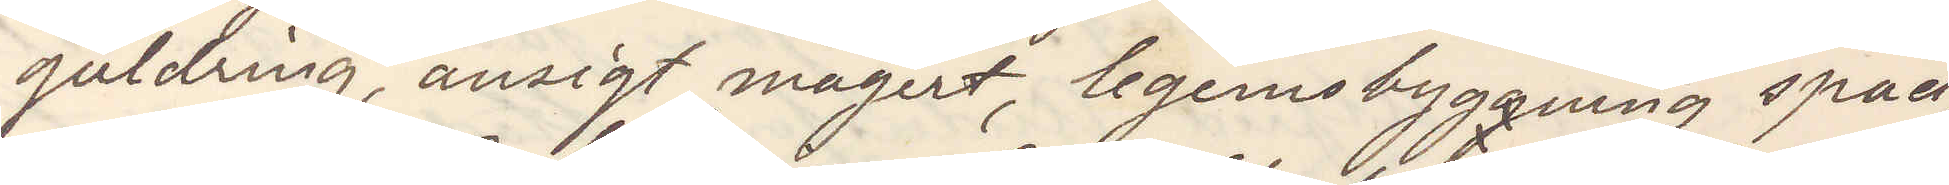guldring, ansigt magert, legemsbyggning späd,
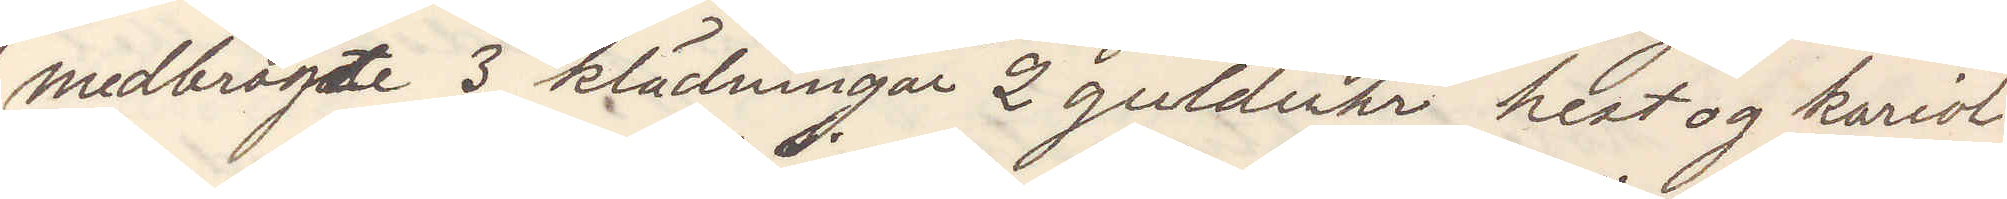medbragte 3 klädningar 2 gulduhr hest og kariol,
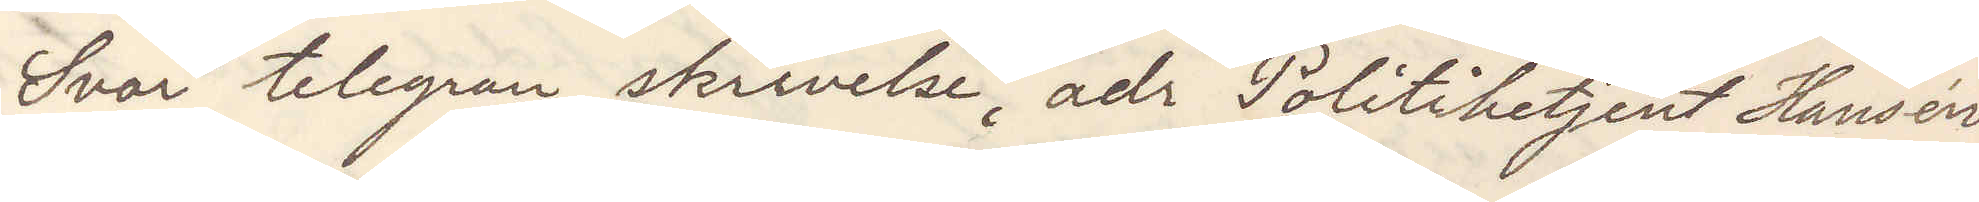Svar telegram skrivelse, adr Politibetjenst Hansen
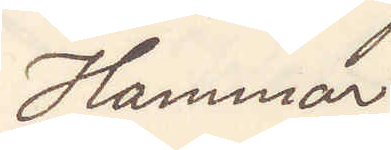Hammar
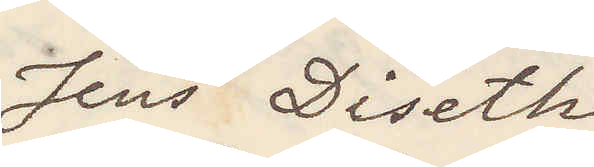Jens Diseth
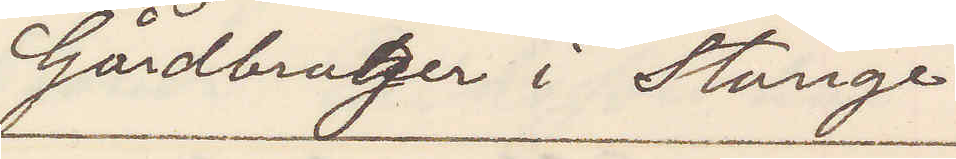Gårdsbruger i Stange
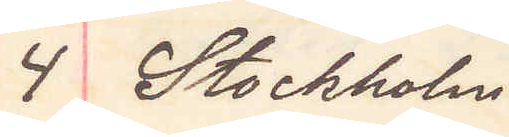4 Stockholm
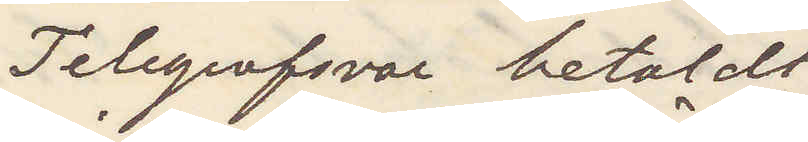Telegrafsvar betaldt
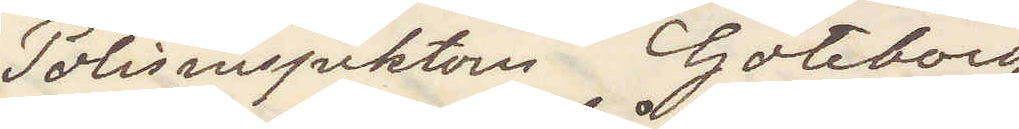Polisinspektorn Göteborg
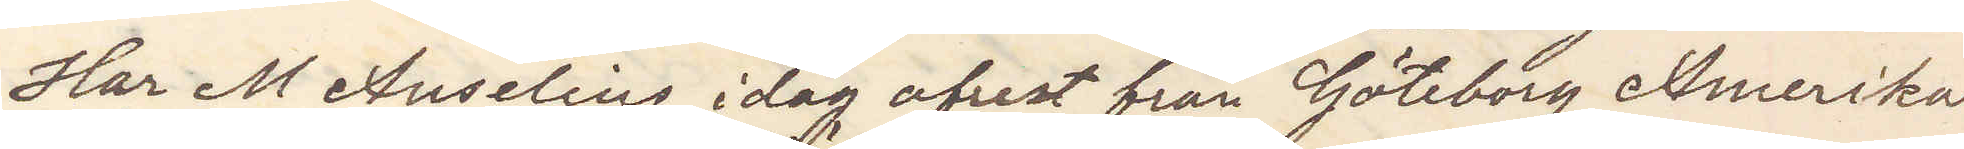Har M Anselius idag afrest från Göteborg Amerika
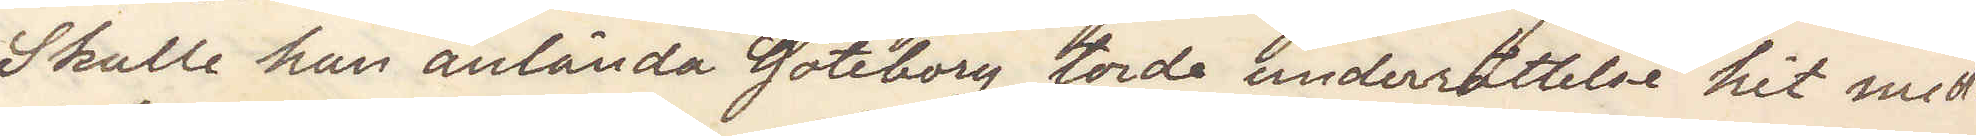Skulle han anlända Göteborg torde underrättelse hit med¬
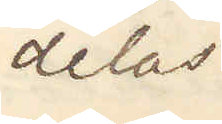delas
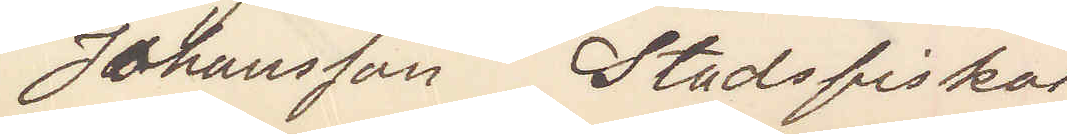Johansson Stadsfiskal
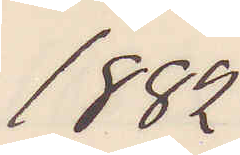1882
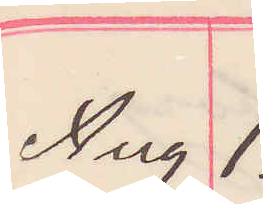Aug 1.
